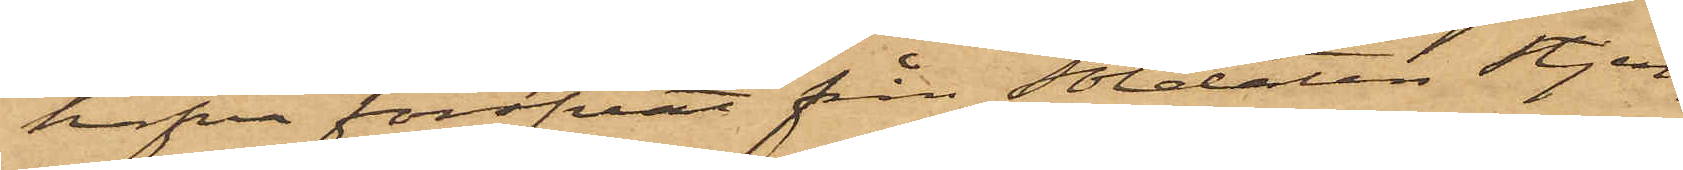hafva föröfvat från Soldaten Stjer¬
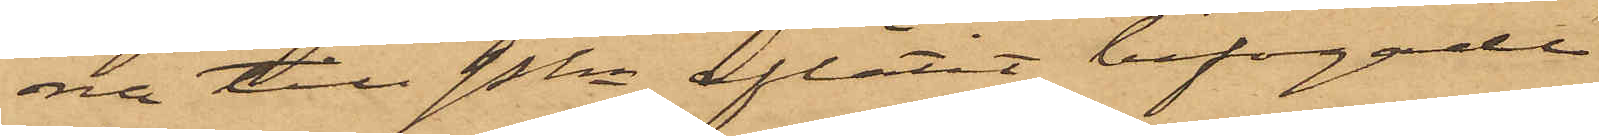na till Pkn aflåtit bifogade
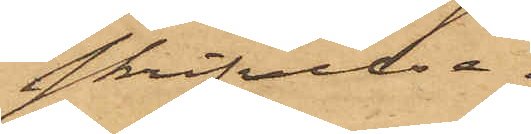skrifvelse.
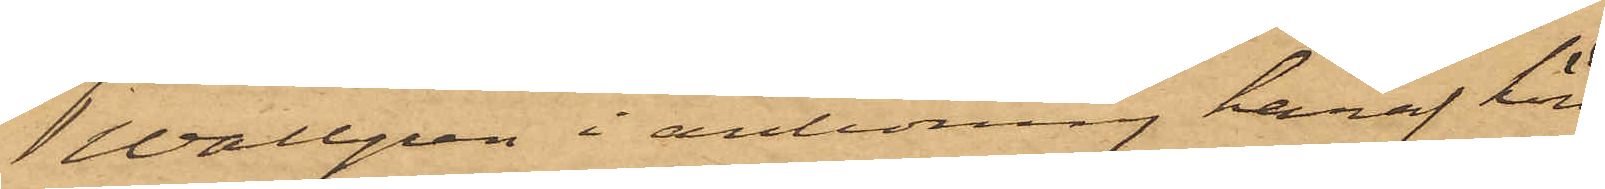Wallgren i anledning häraf hörd
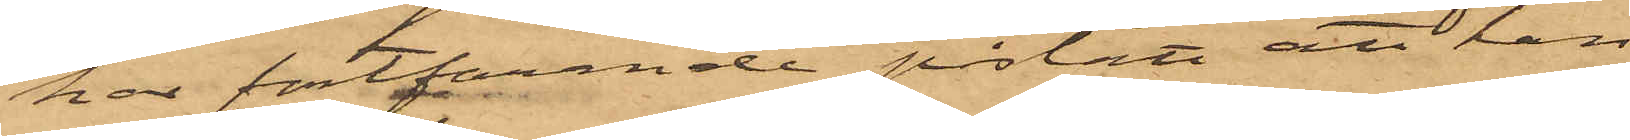har fortfarende påstått att han
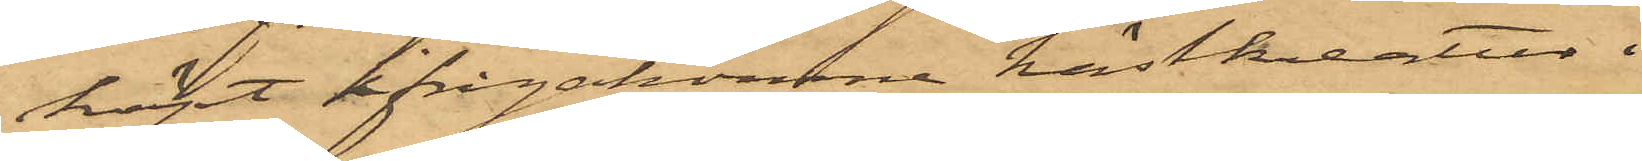köpt iifrågakomne hästkreatur i
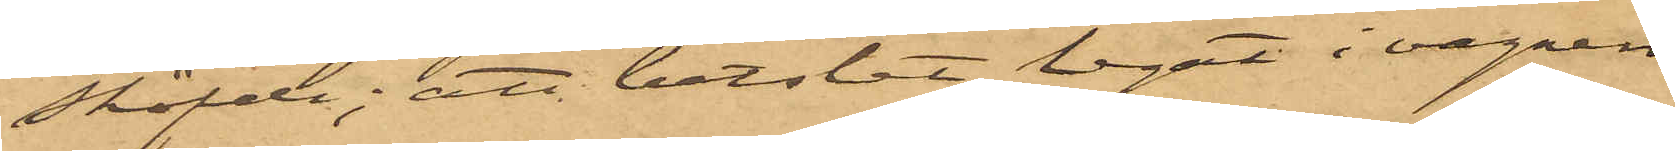Sköfde; att betslet legat i vagnen
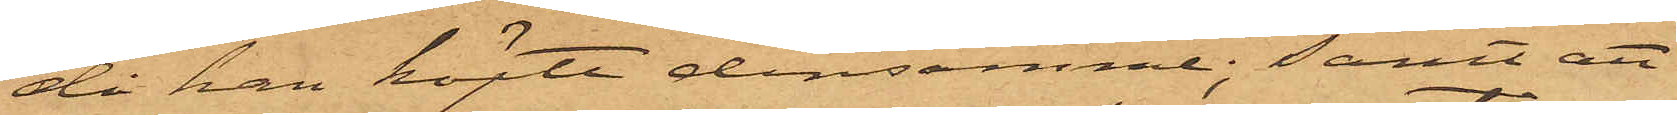då han köpte densamme; samt att
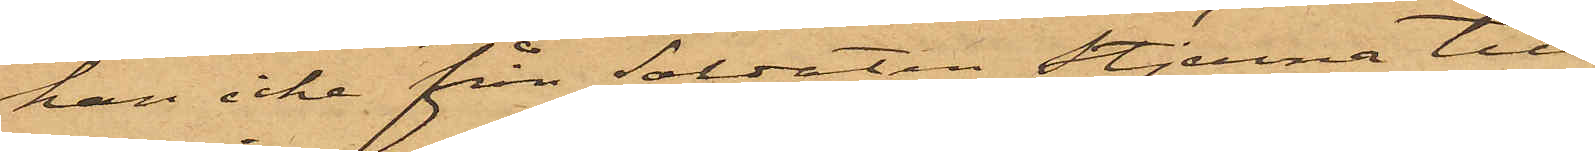han icke från Soldaten Stjerna till¬
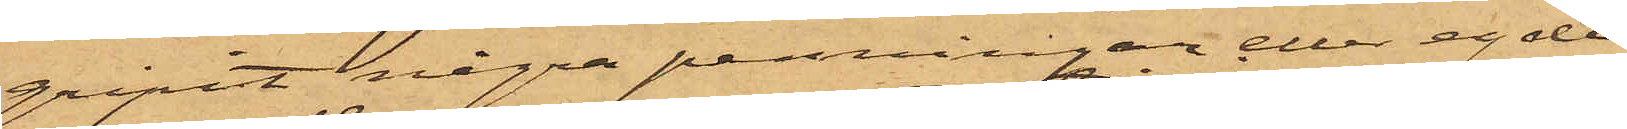gripit några penningar eller egde
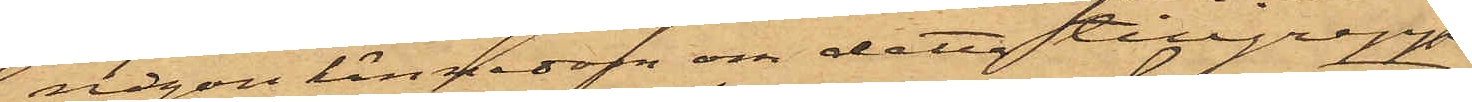någon kännedon om detta tillgrepp.
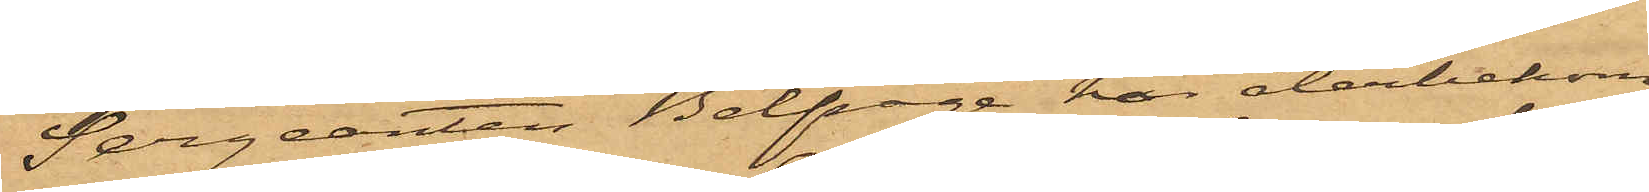Sergeanten Belfrage har återbekom¬
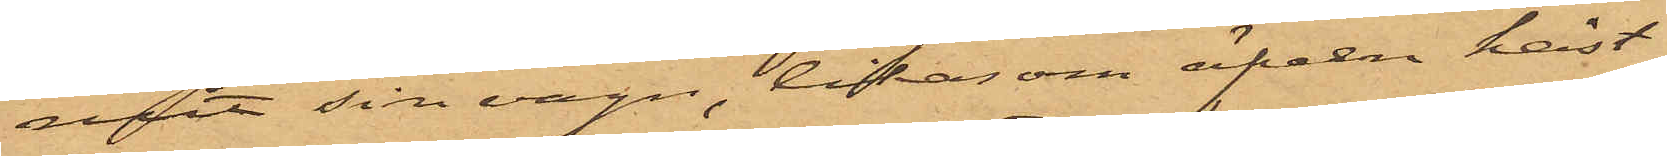mit sin vagn, likasom äfven häst¬
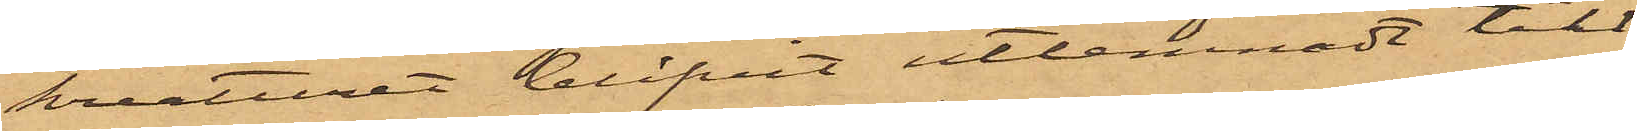kreaturet blifvit utlemnadt till
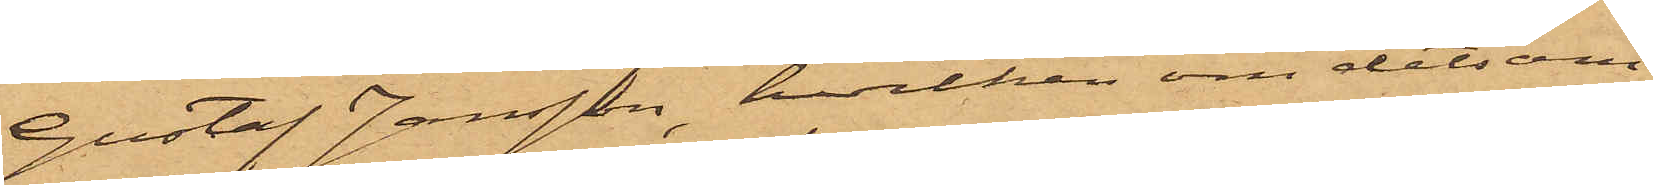Gustaf Jansson, hvilken om detsam¬
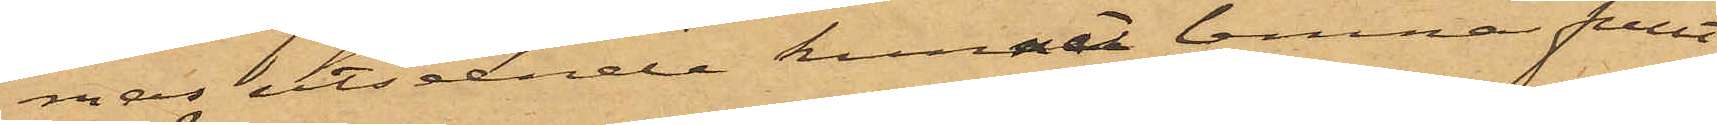mas utseende kunnat lemna fullt
